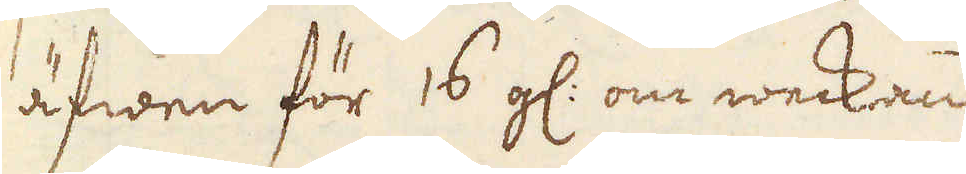äfwen för 16 g: om weckan.
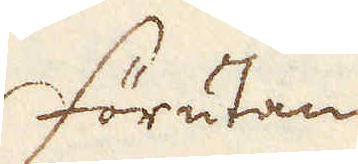Förutan
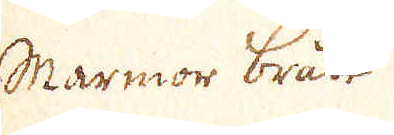Marmor brått
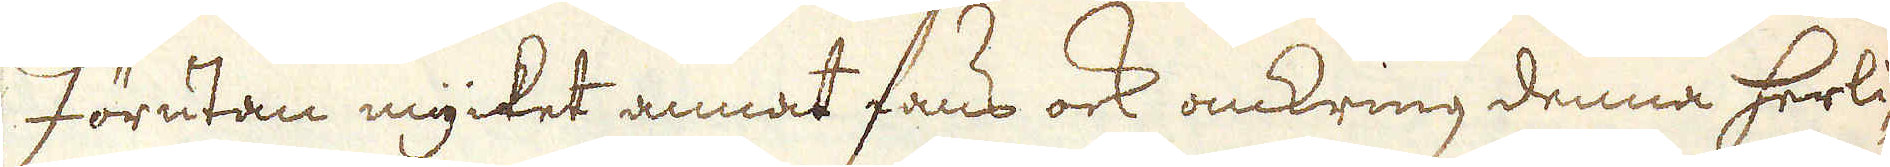Förutan mycket annat fans ock omkring denna herli-
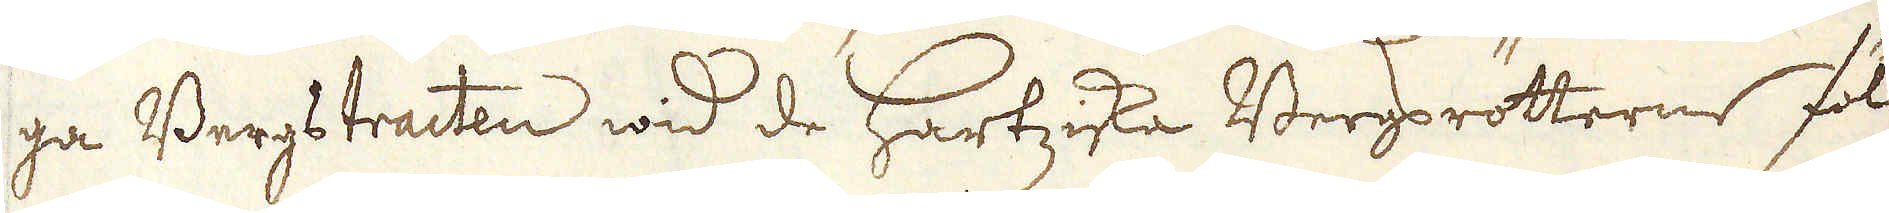ga Bergstracten wid de Hartziska Bergsrötterne föll-
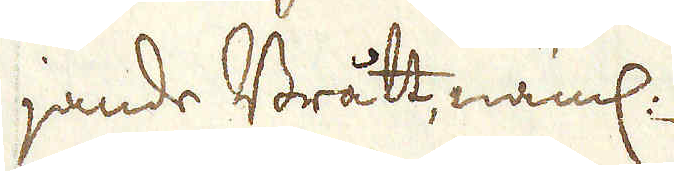jande Brått, näml:
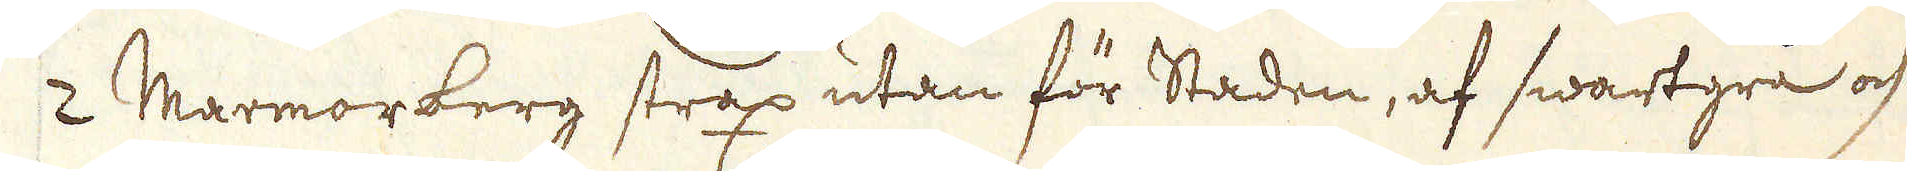2 Marmorberg strax utan för Staden, af swartgrå och
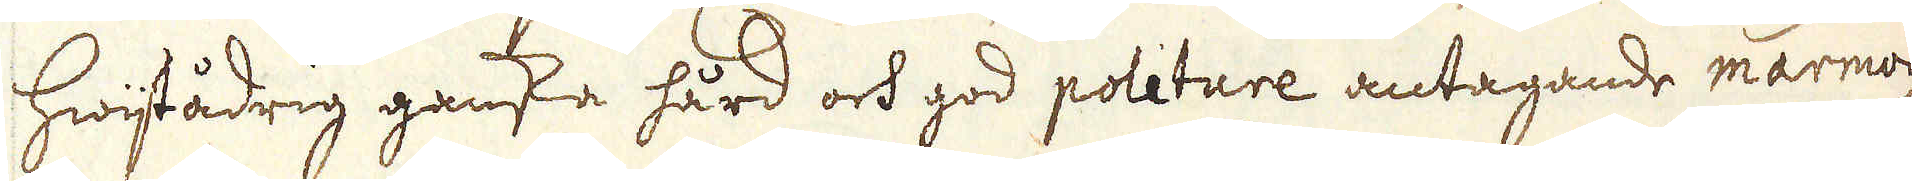hwijtådrig ganska hård och god politure antagande marmor
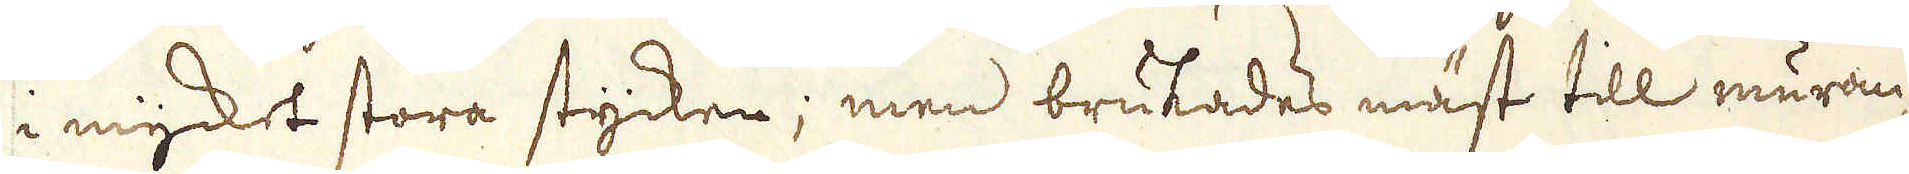i mycket stora stycken; men brukades mäst till muran-
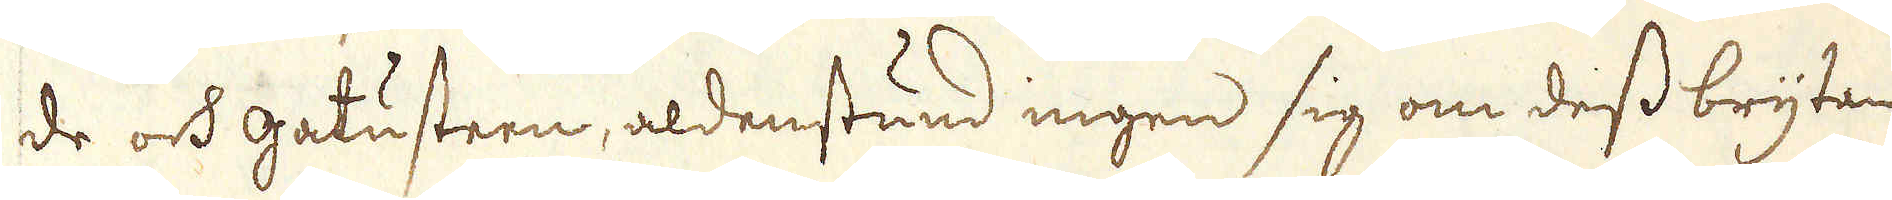de och gatusteen, aldenstund ingen sig om dess brytan-
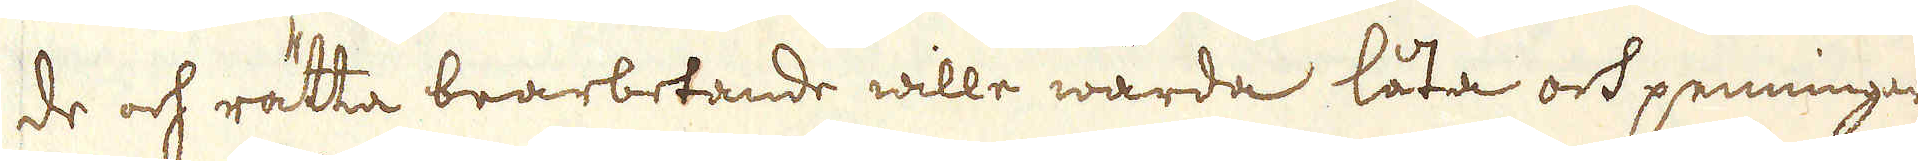de och rätta brarbetande wille warda låta och penningar
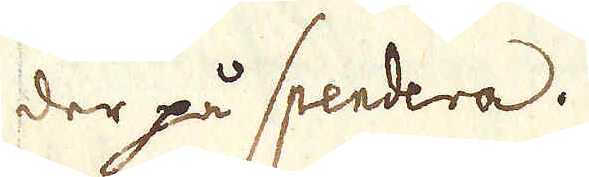der på spendera.
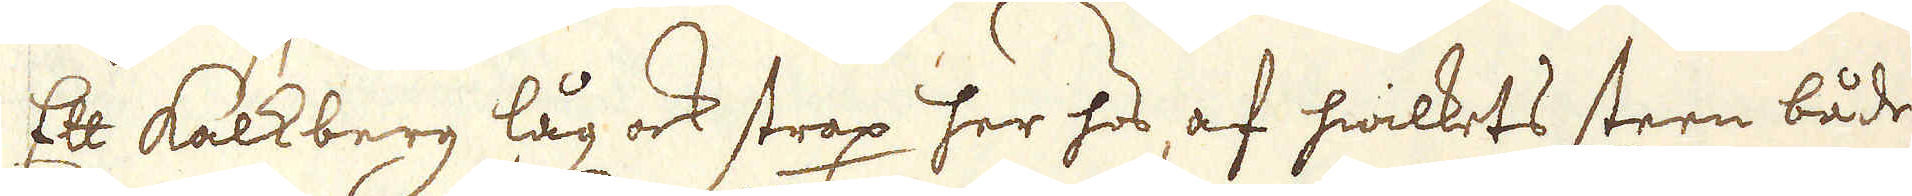Ett Kalkberg låg ock strax her hos, af hwilkets steen både
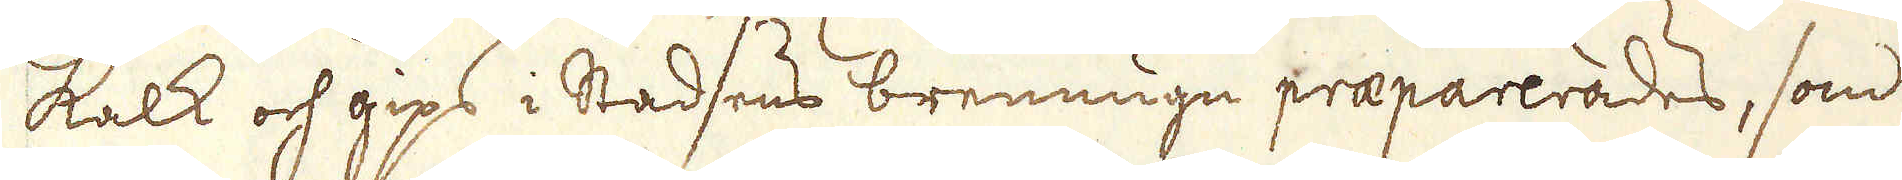kalk och gips i Stadsens brennugn praeparerades, som
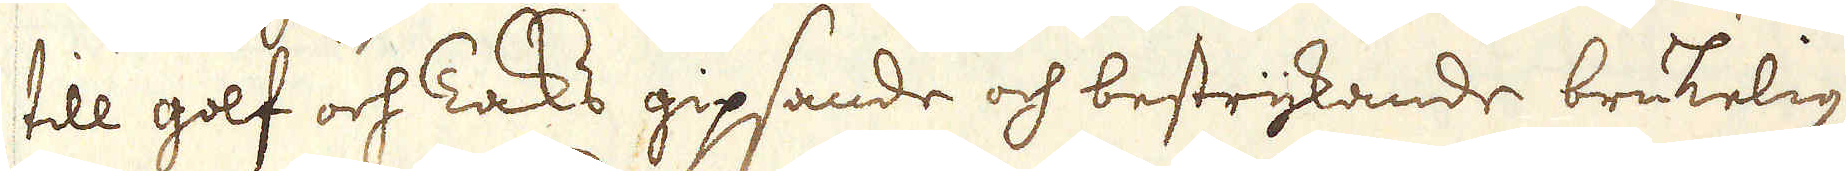till golf och Taks gipsande och bestrykande brukelig
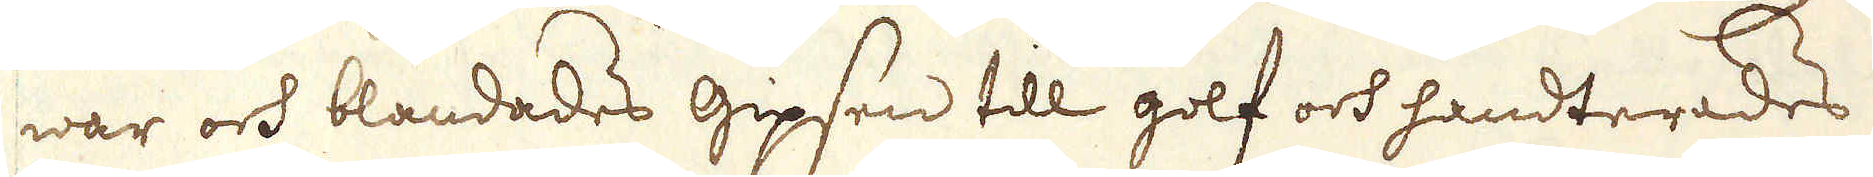war och blandades gipsen till golf och handterades
